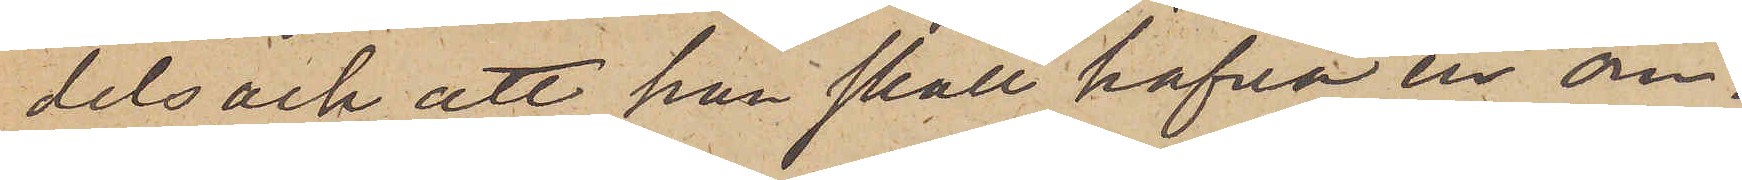dels ock att han skall hafva en om¬
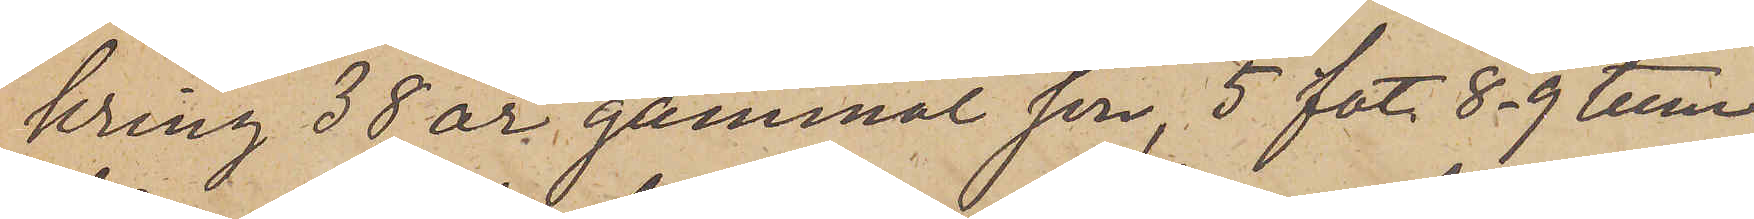kring 38 år gammal son, 5 fot 8-9 tum
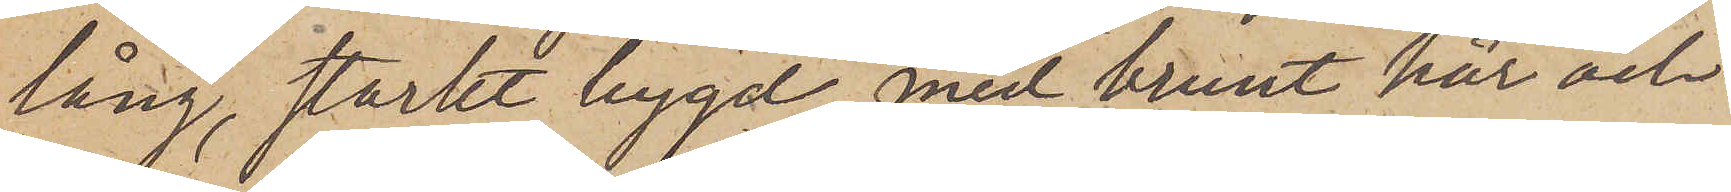lång, starkt bygd, med brunt hår och
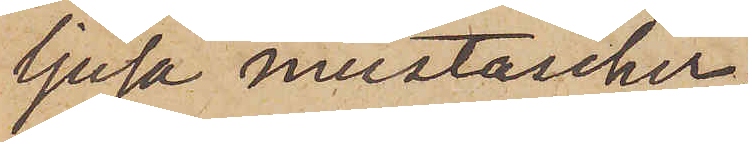ljusa mustascher
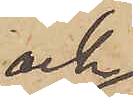och
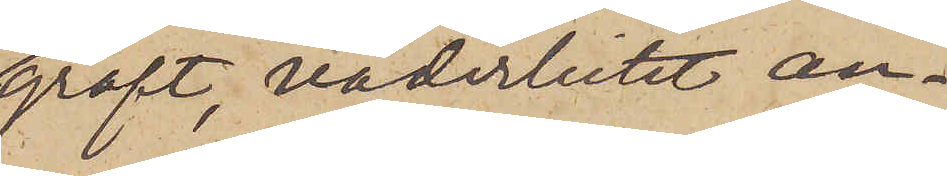groft, väderbitet an¬
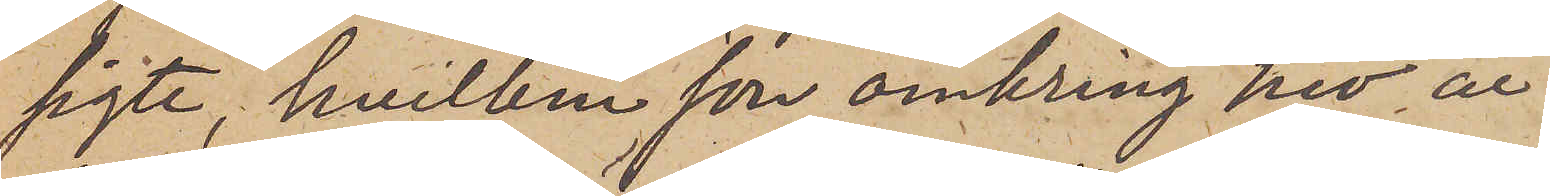sigte, hvilken son omkring nio år
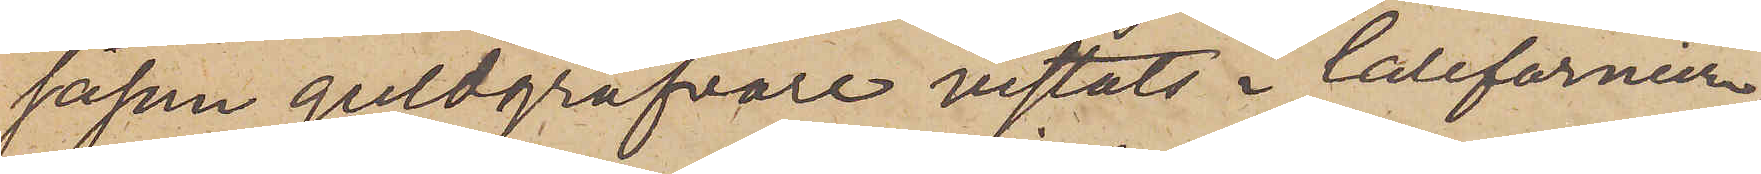såsom guldgräfvare vistats i Californiern,
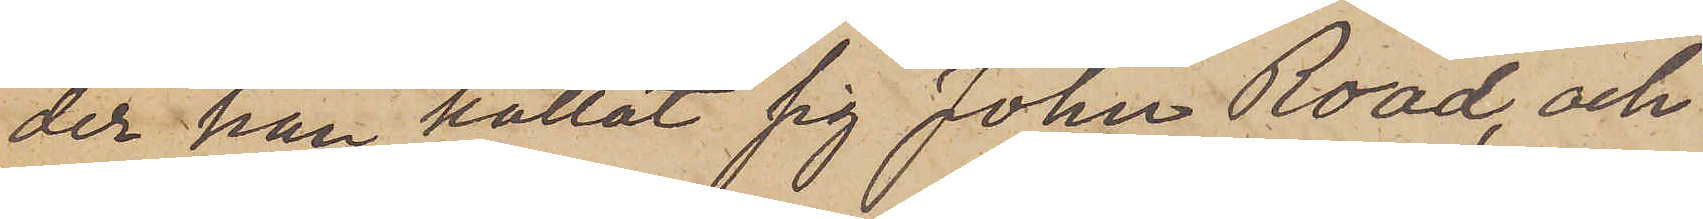der han kallat sig John Road, och
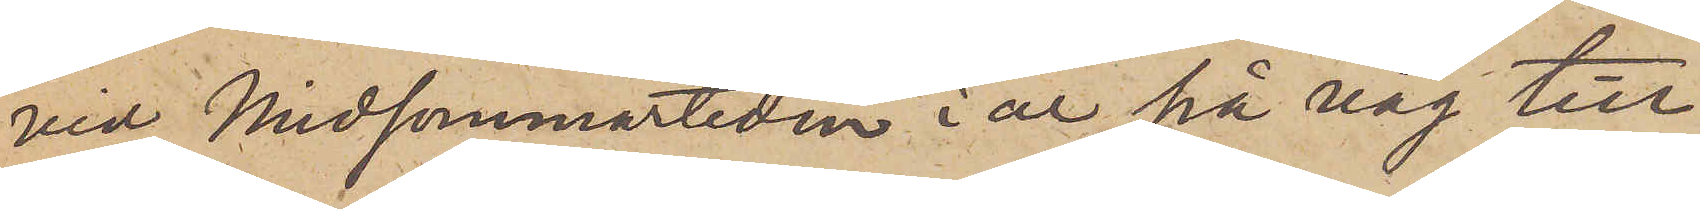vid Midsommartiden i år på väg till
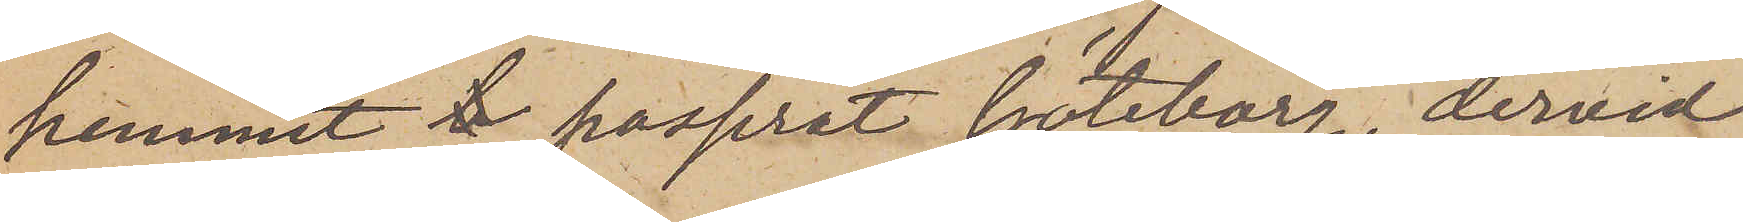hemmet b passerat Göteborg, dervid
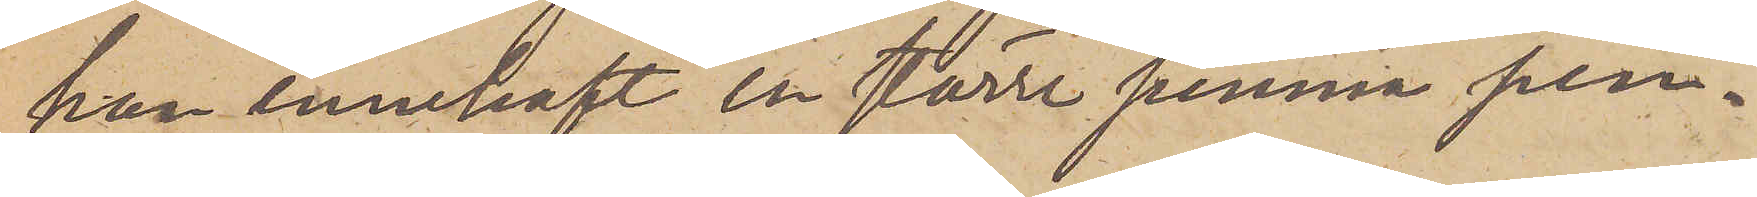han innehaft en större summa pen¬
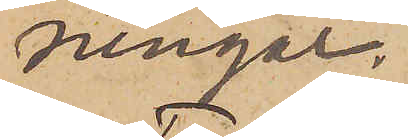ningar.
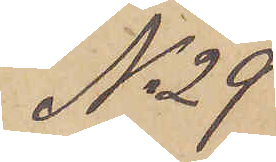No 29
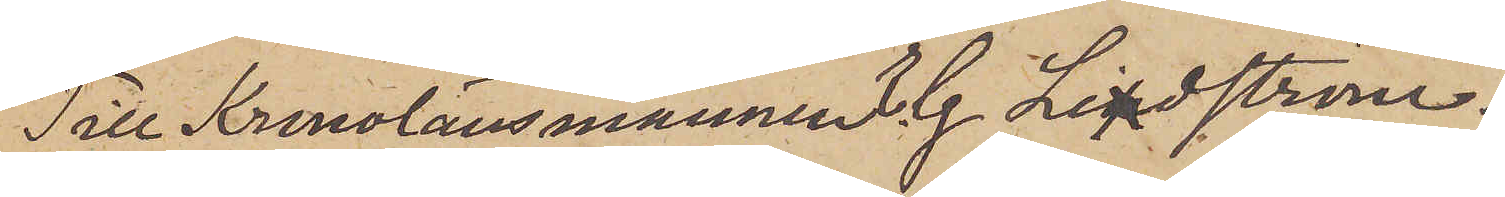Till Kronolänsmannen E. G. Lindström.
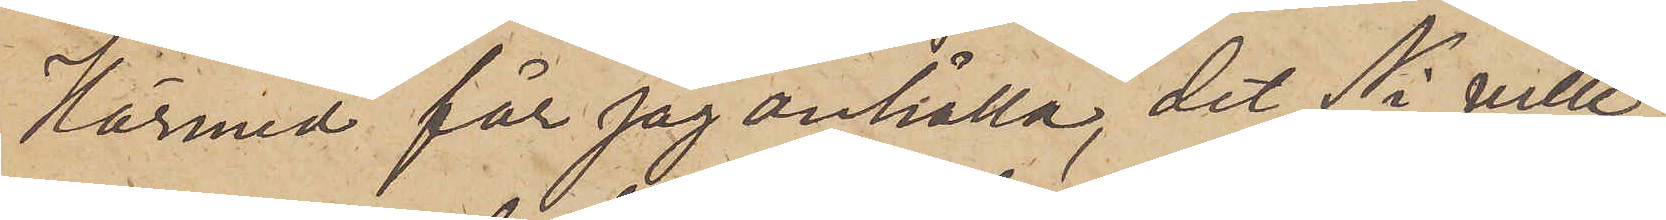Härmed får jag anhålla, det Ni ville
